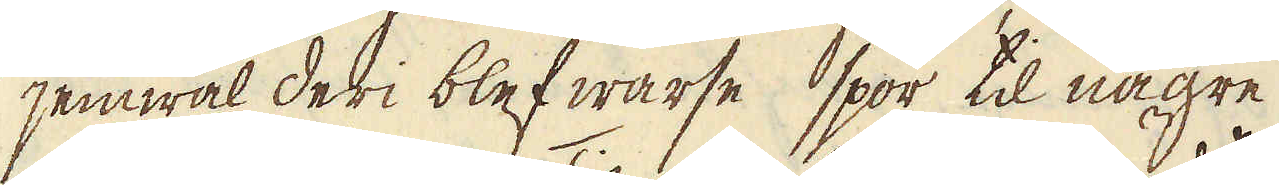jemwäl deri blef warse spor til någre
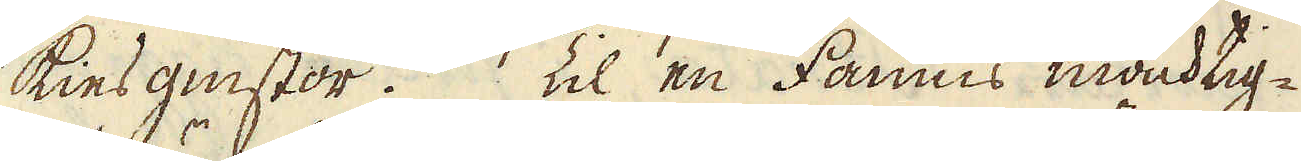kiesgnistor. Til en famns mäcktig-
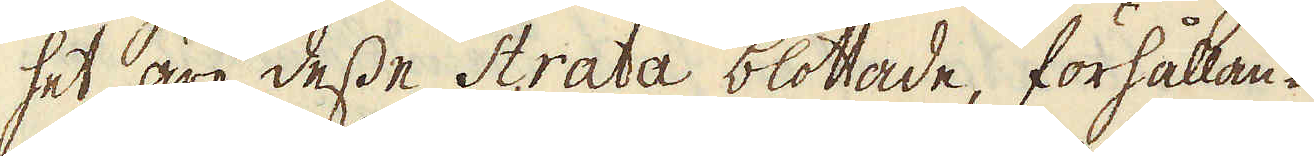het äro desse Strata blottade, förhållan-
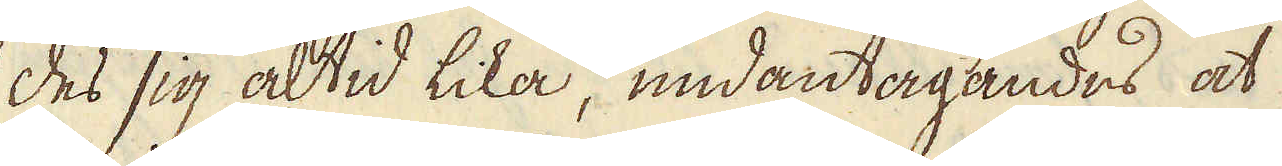des sig altid lika, undantagandes at
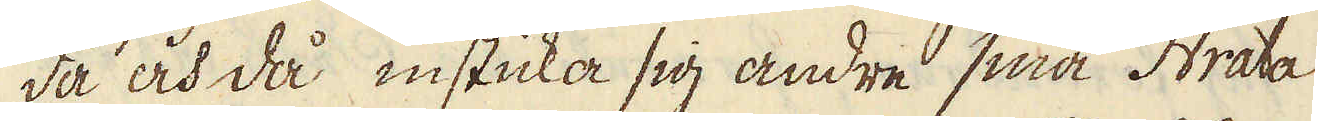då och då insticka sig andre små Strata
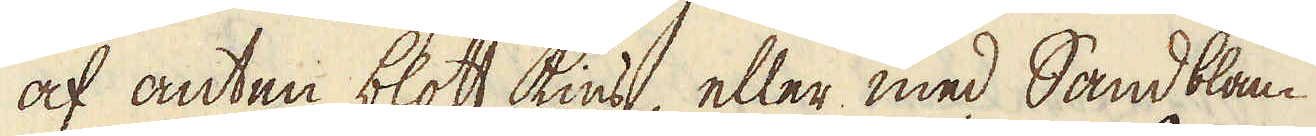af anten blott kies, eller med Sandblan-
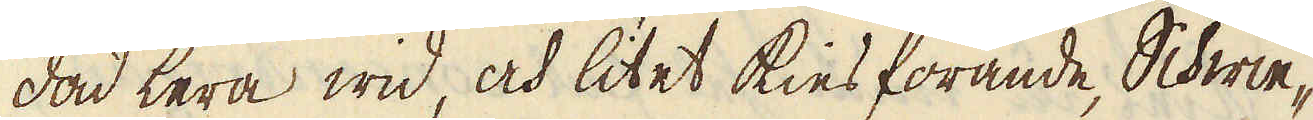dad lera wid, och litet kies förande, Schwie-
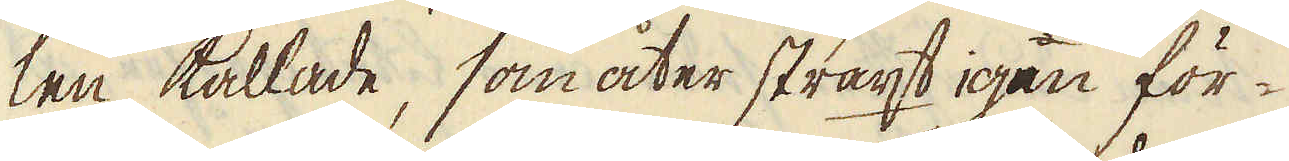len, kallade, som åter straxt igen för-
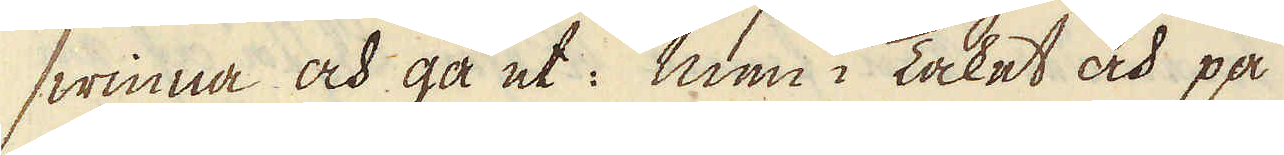swinna och gå ut: men i Taket och på
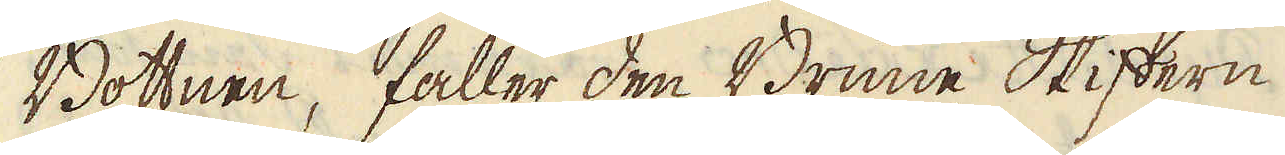Bottnen, faller den Brune Skiffern
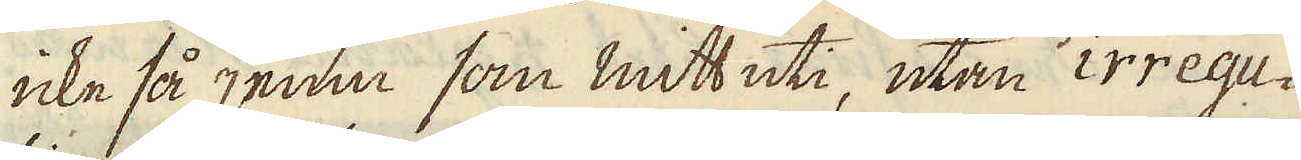icke så jemn som mitt uti, utan irregu-
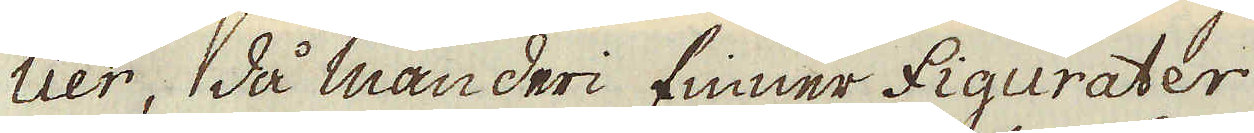lier, då man deri finner figurater
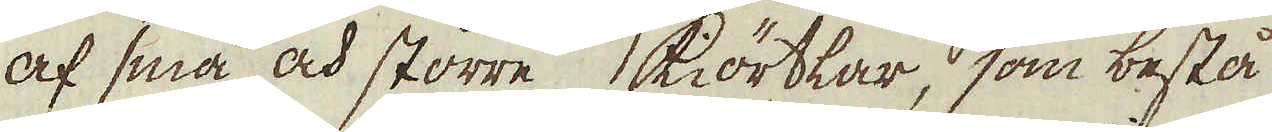af små och större kiörtlar, som bestå
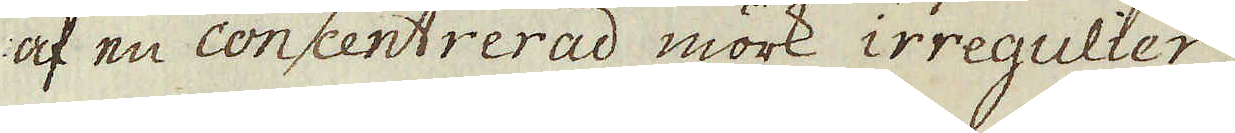af en concentrerad mörk irregulier
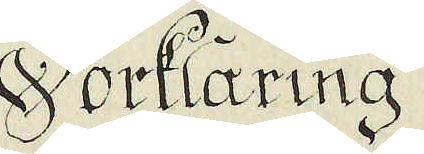Förklaring
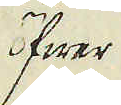öfwer
